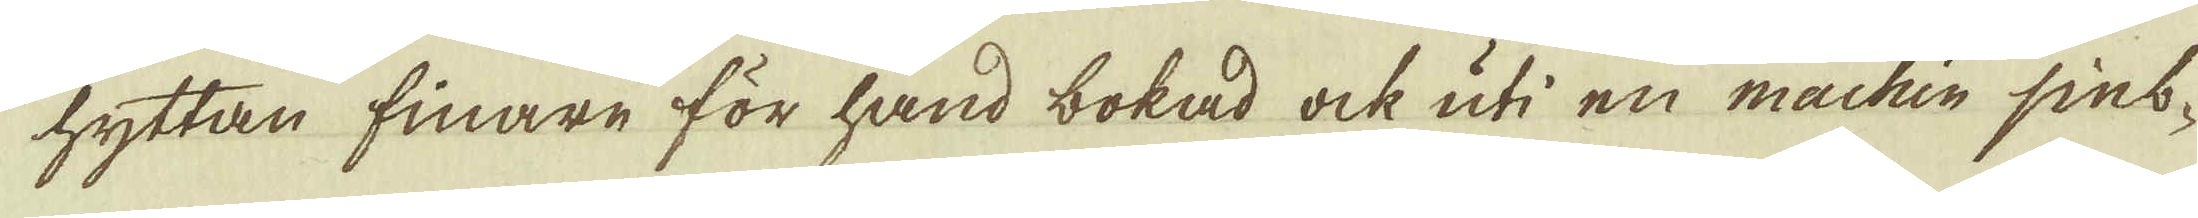hyttan finare för hand bokad ock uti en machin sint-
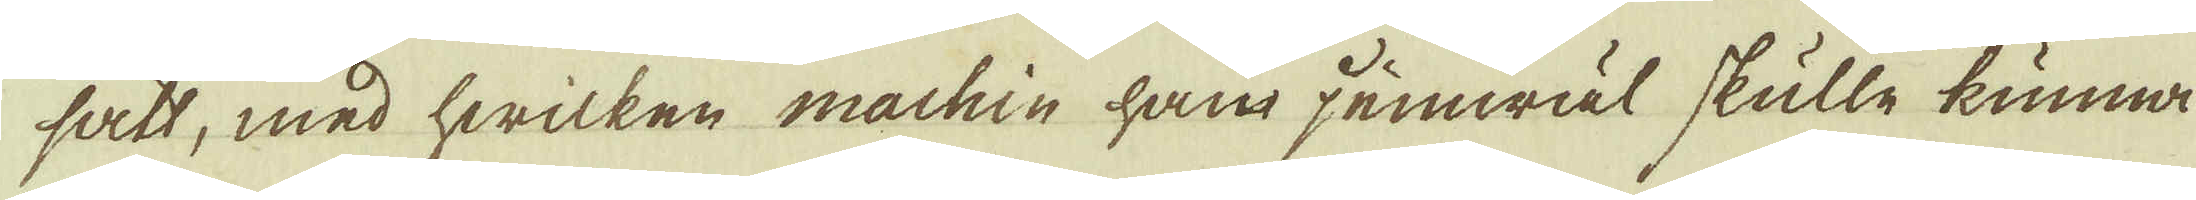satt, med hwilken machin han jemwäl skulle kunna
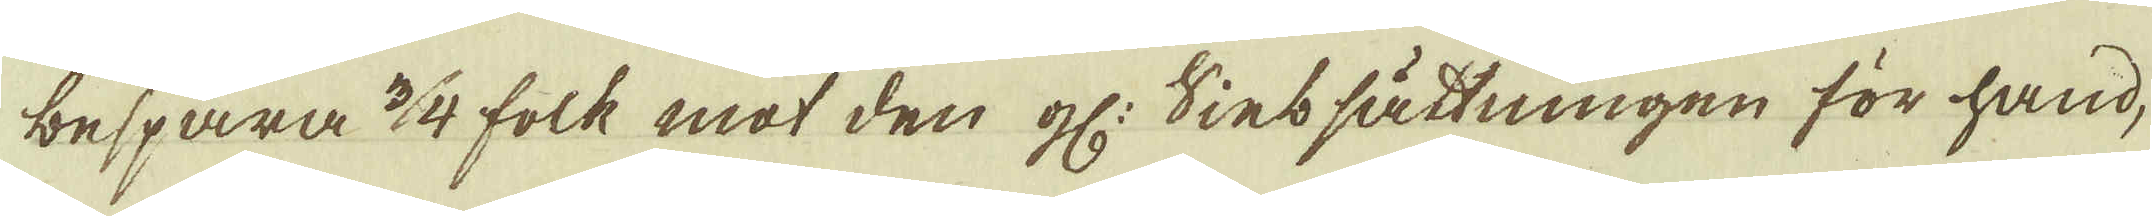bespara 3/4 folk mot den gl: Sintsättningen för hand,
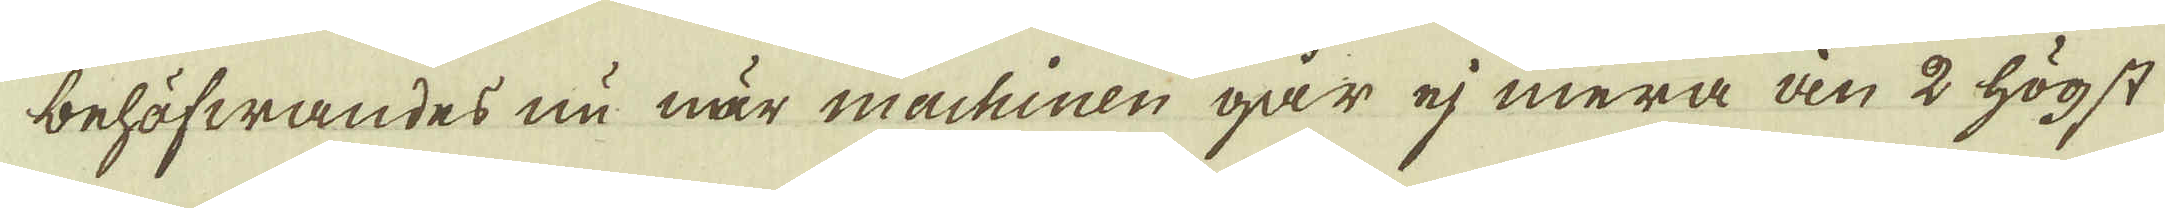behöfwandes nu när machinen går ej mera än 2 högst
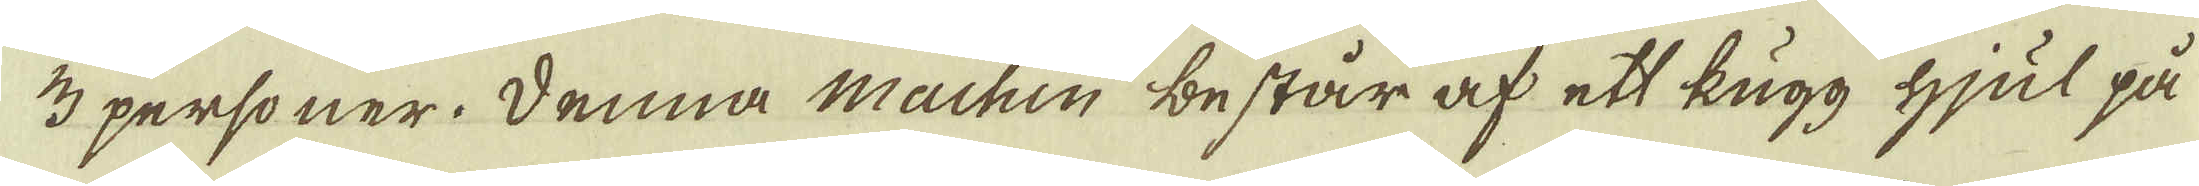3 personer. Denna Machin * består af ett kugg hjul på
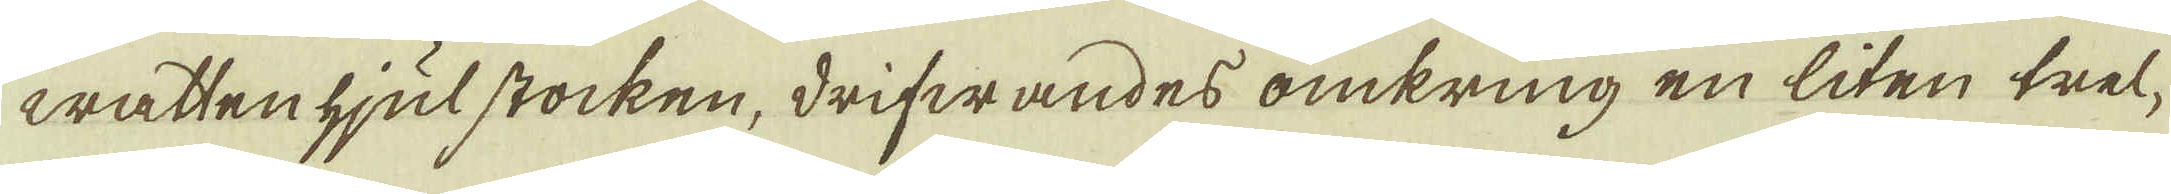watten hjulstocken, drifwandes omkring en liten trel-
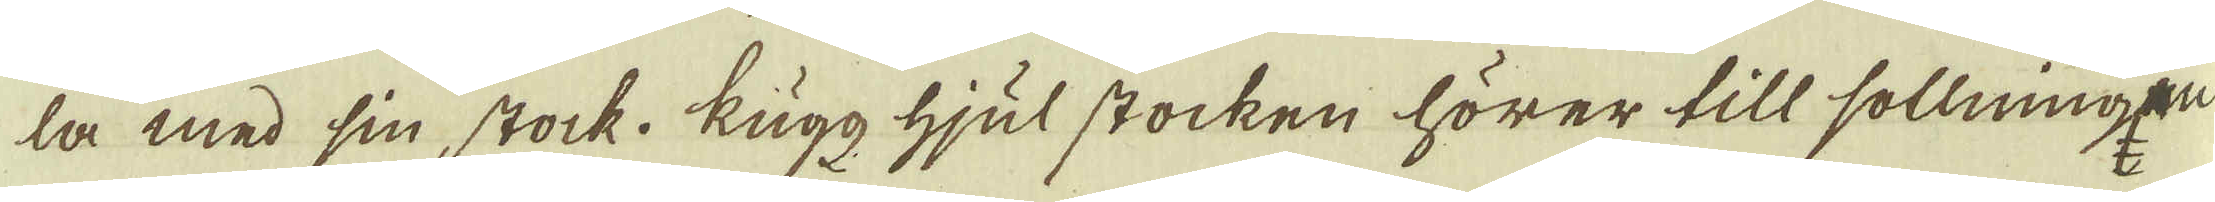la med sin stock. Kugg hjul stocken hörer till sollningen
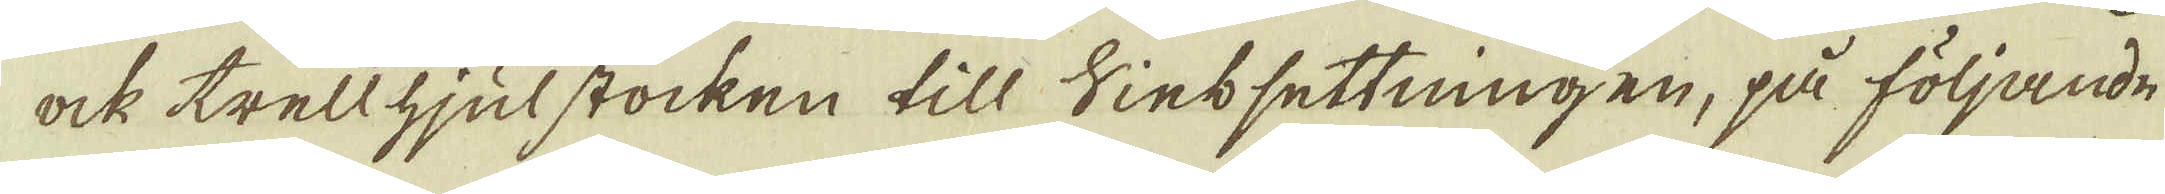ock trellhjulstocken till Sintsettningen, på följande
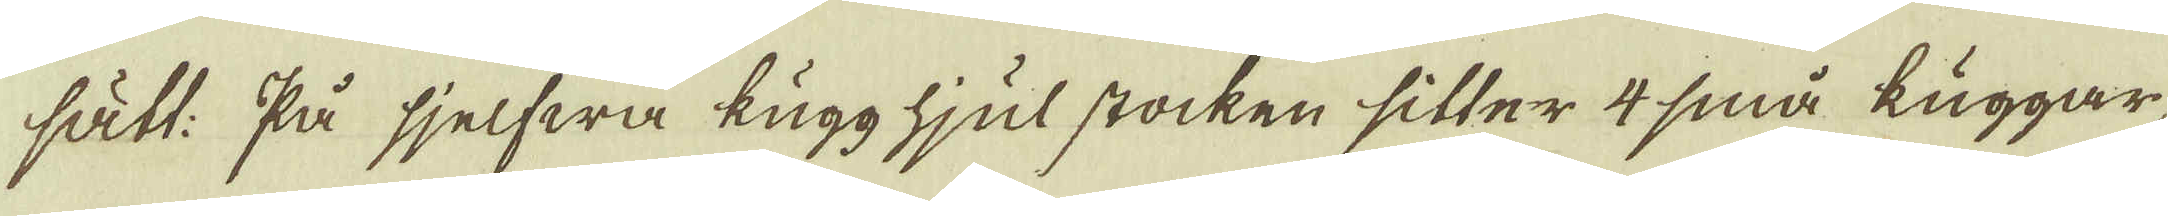sätt: På sjelfwa kugg hjul stocken sitter 4 små kuggar,
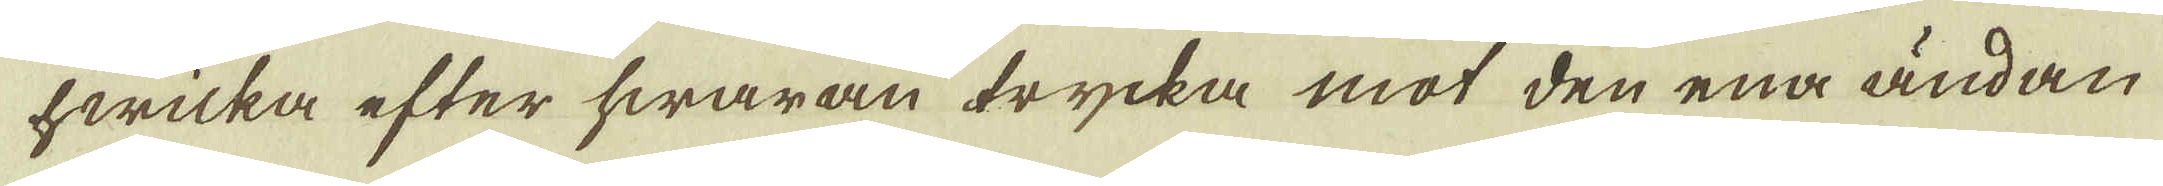hwilka efter hwaran trycka mot den ena ändan
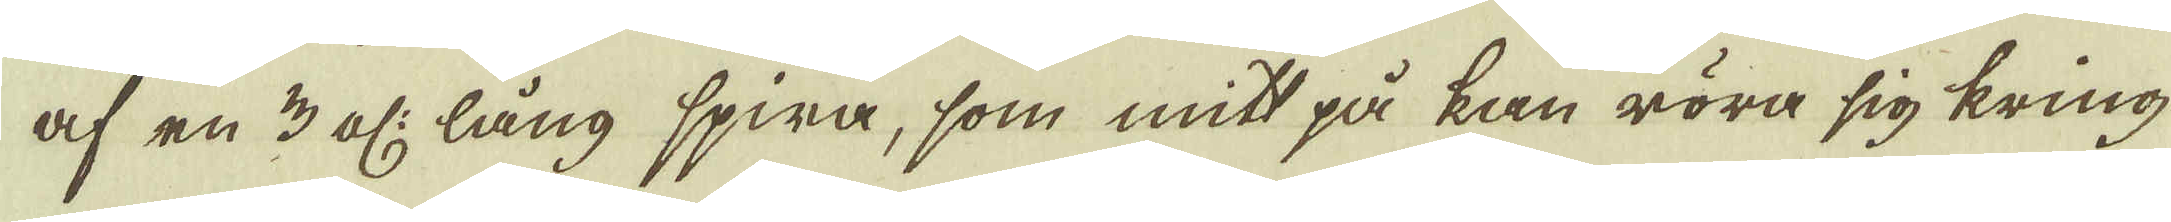af en 3 al: lång spira, som mitt på kan röra sig kring
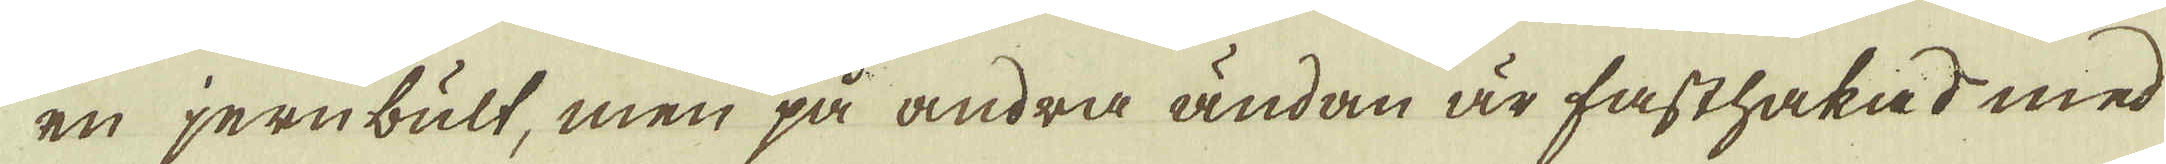en jernbult, men på andra ändan är fasthakad med
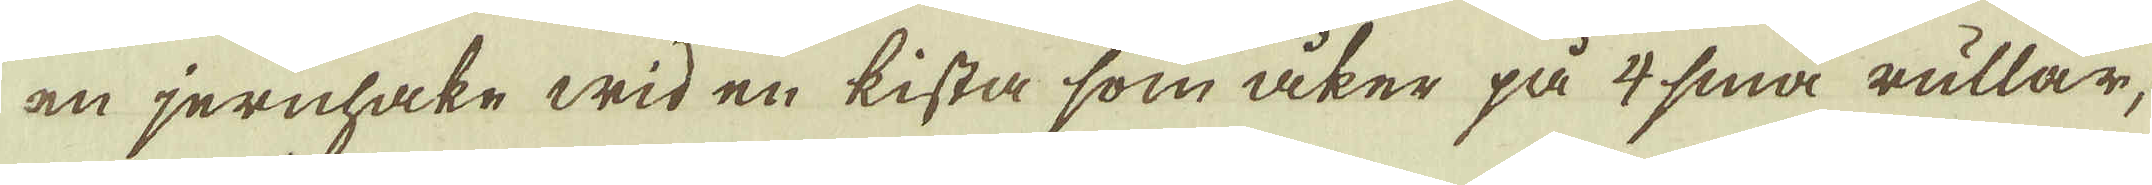en jernhake wid en kista som åker på 4 små rullar;
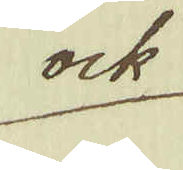* Vide Ritningarne Tab: VII.
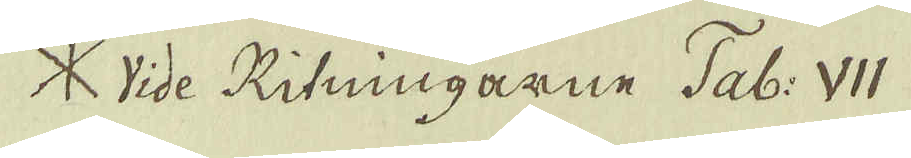ock
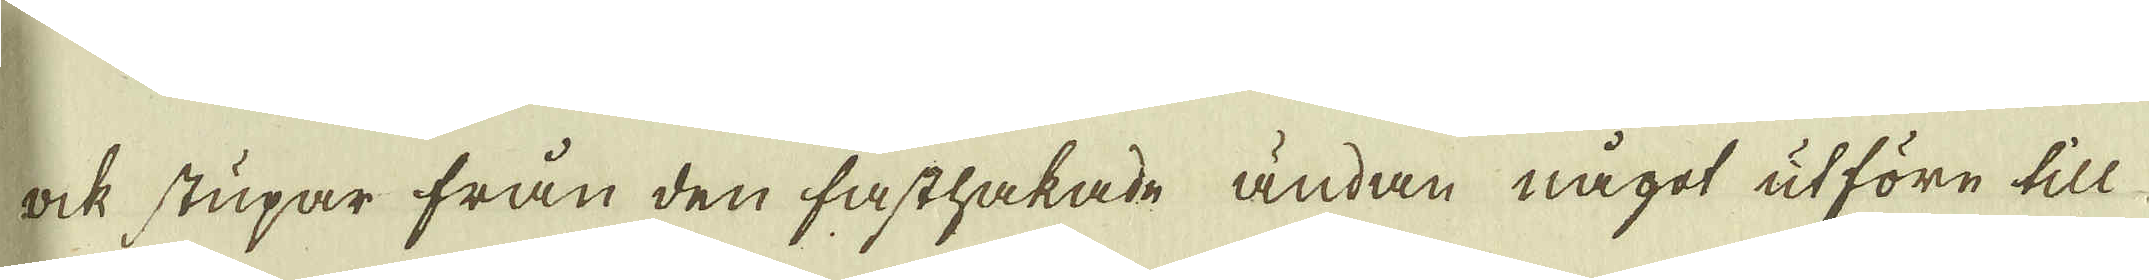ock stupar från den fasthakade ändan något utföre till
